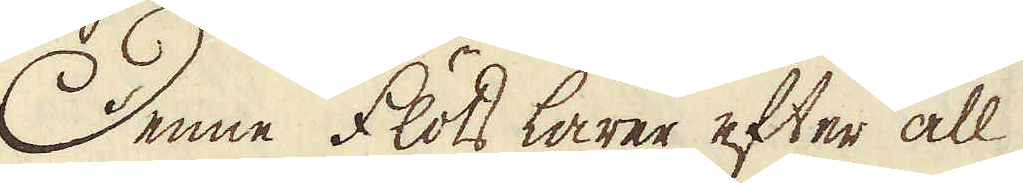Denne flöts lärer efter all
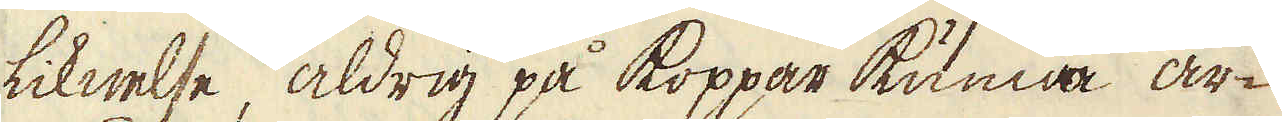liknelse, aldrig på koppar kunna ar-
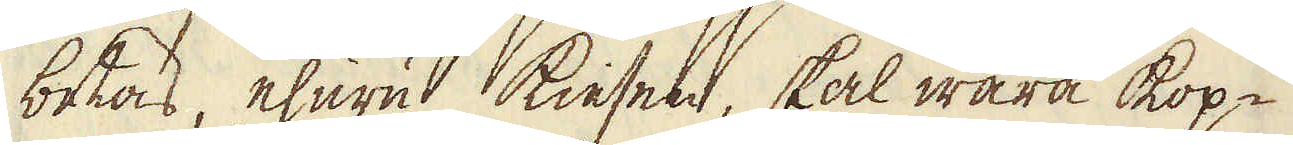betas, ehuru kiesen, skal wara kop-
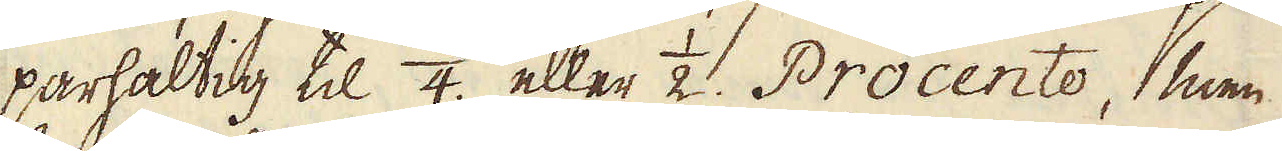parhaltig til 1/4. eller 1/2. Procento, men
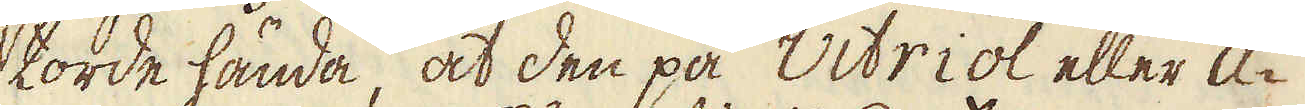torde hända, at den på Vitriol eller A-
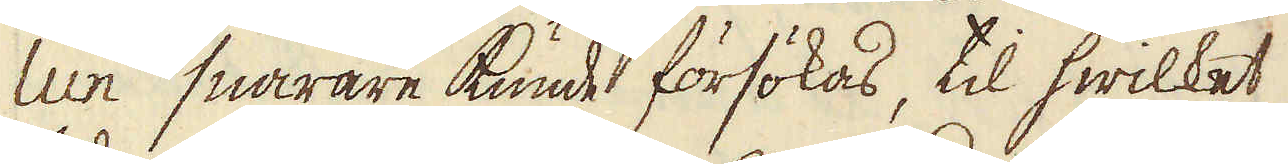lun snarare kunde försökas, til hwilket
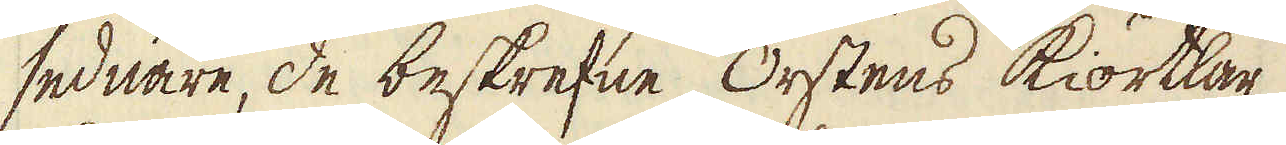sednare, de beskrefne Orstens Kiörtlar
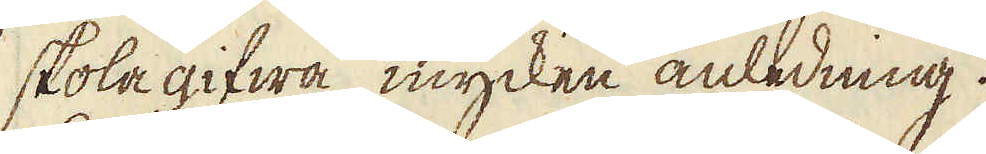skola gifwa mycken anledning.
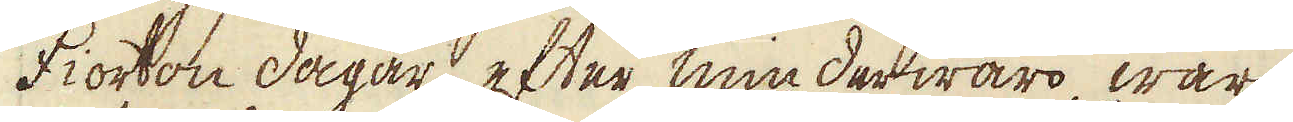Fiorton dagar efter min derwaro, war
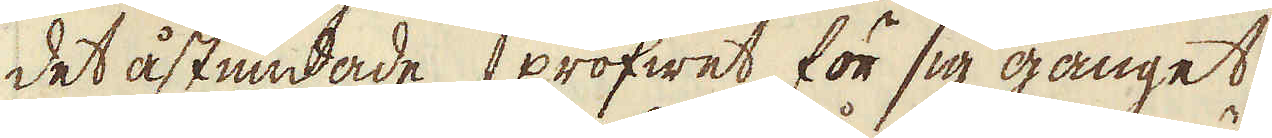det åstundade profwet för sig gånget,
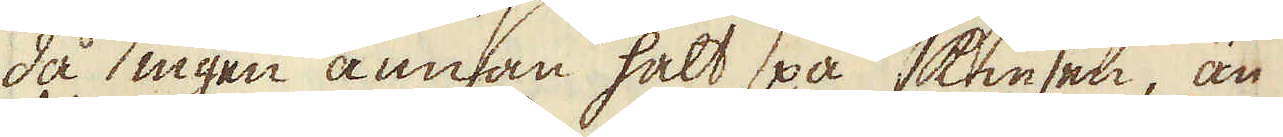då ingen annan halt på kiesen, än
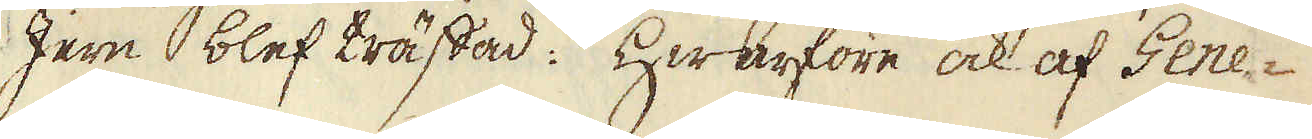Jern blef träffad: Hwarföre ock af Gene-
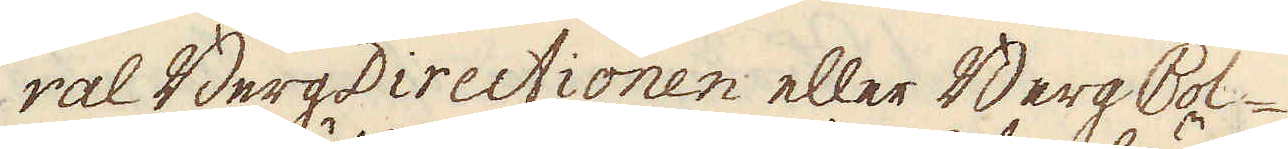ral BergDirectionen eller Berg Col-
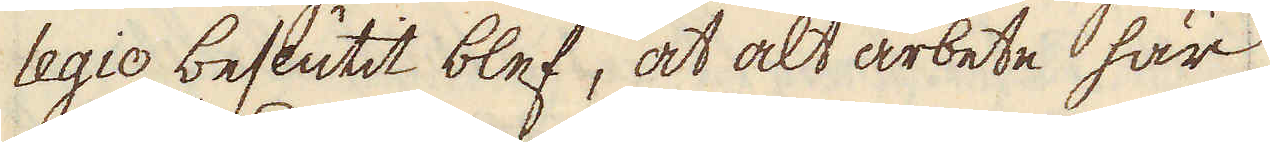legio beslutit blef, at alt arbete här
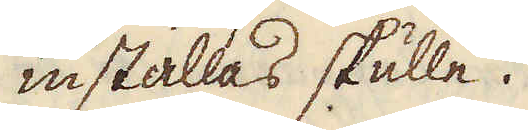inställas skulle.
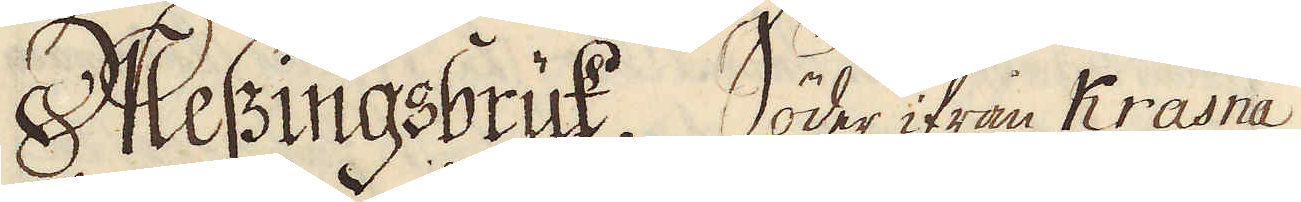Meszingsbruk. Söder ifrån Krasna
